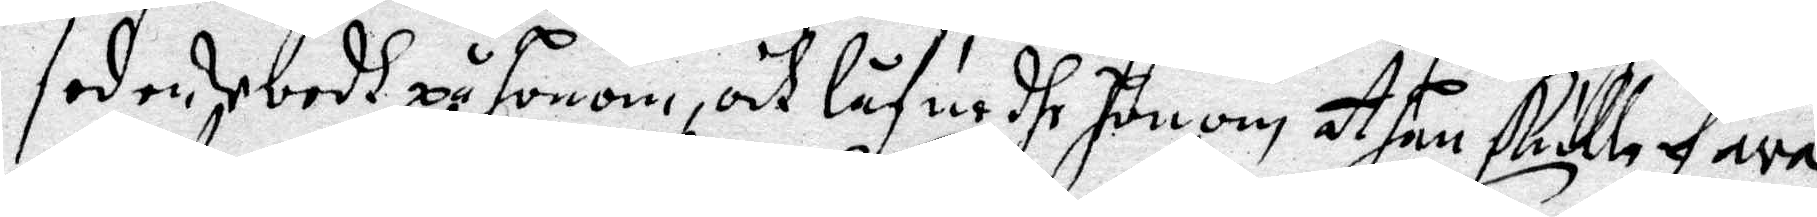sedan Vardh på Honom, och låfue dhe honom ay han skulle fara
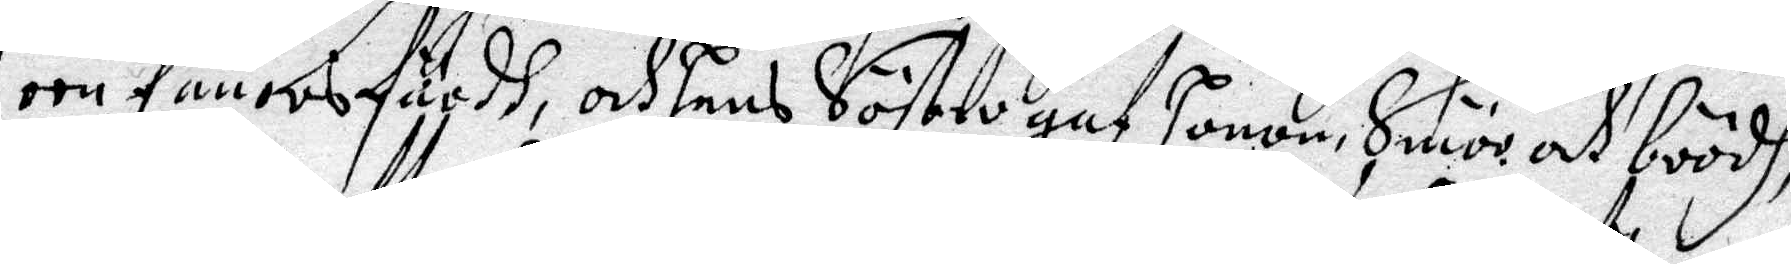een fanoes färdh, och Hans Söstro gaf Honom Smör och brödh,
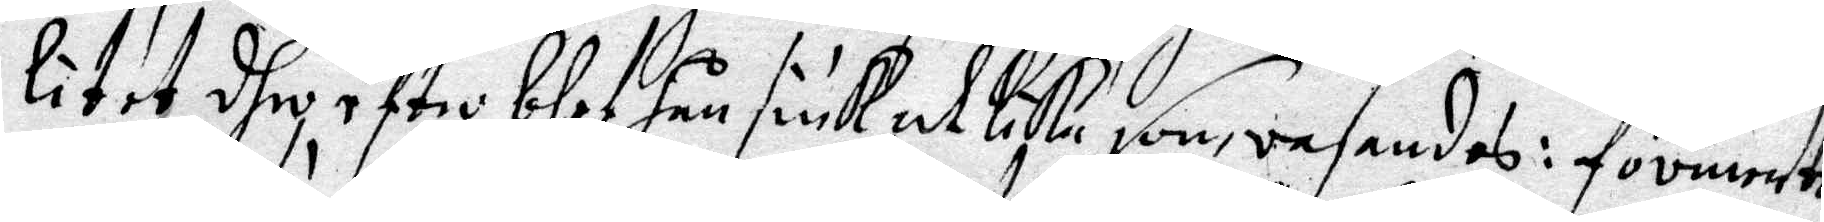litet dhe efter blef han siuk at lika som rasande: förmente
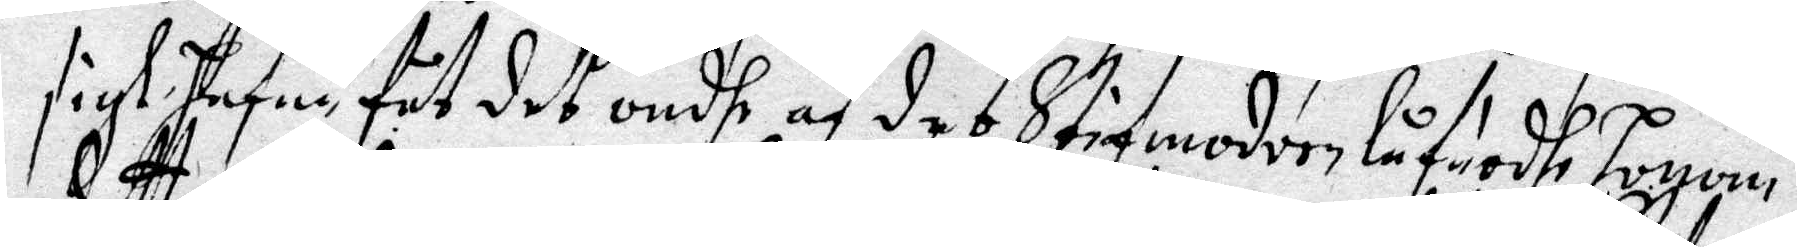sigh Hafua fåt det ondhe af des Stifmoder låfuadhe Honom:
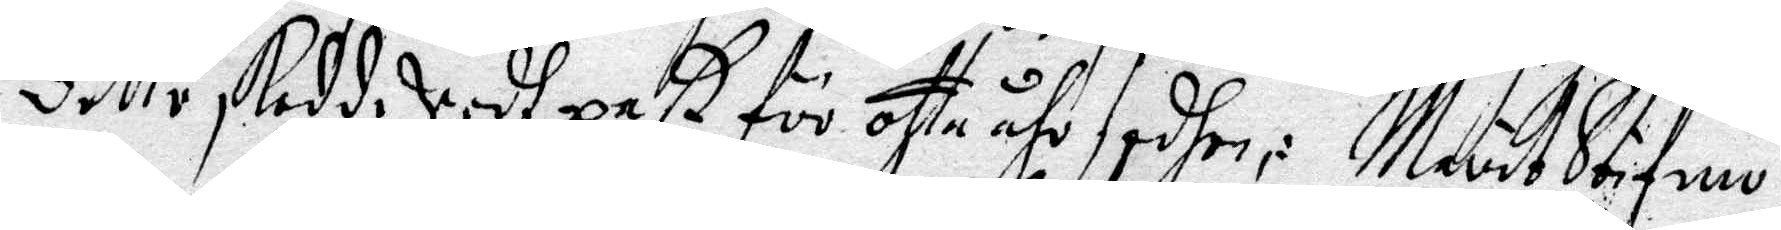dette skedde Vedh paß för otta åhr sedhan; Marit Stifmo¬
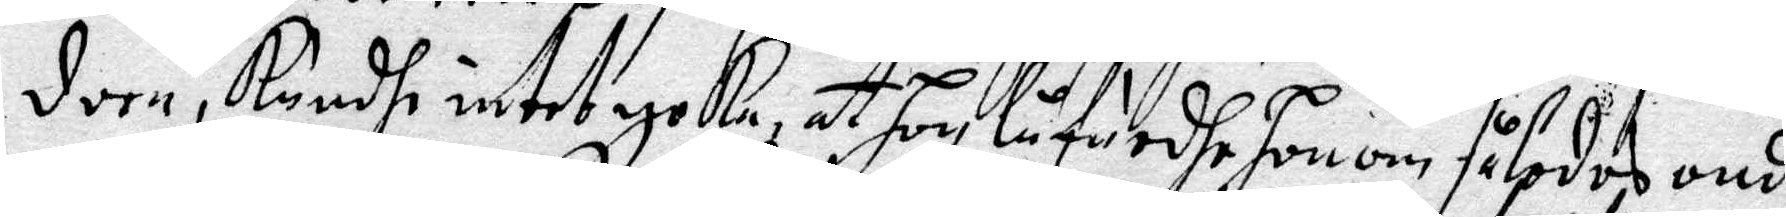dern, kundhe intet neka ay Hon låfuade Honom således ondt
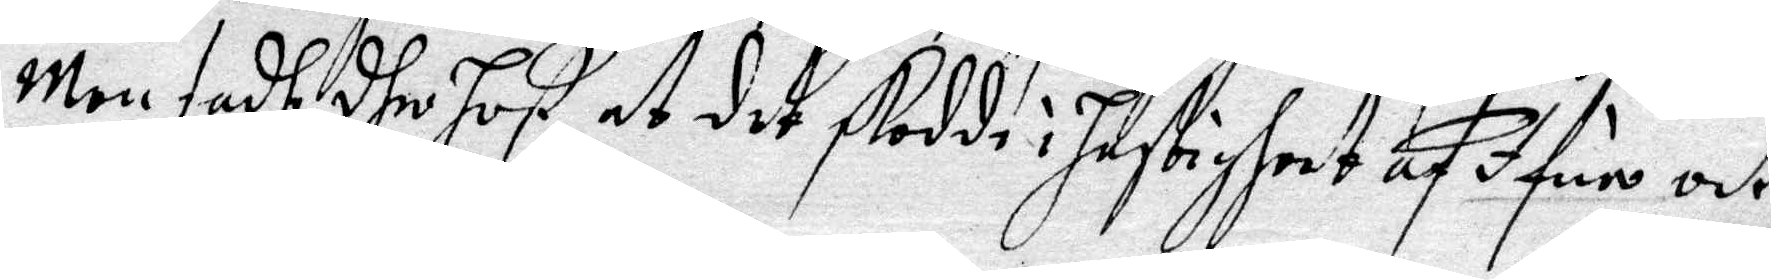Men sadhe dhe hot at dhe skedde i hastighet af Ifun och
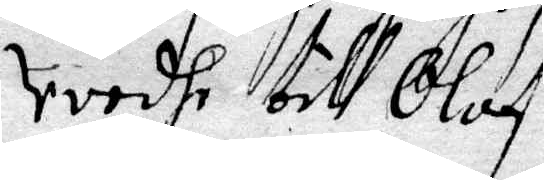vredh till Olof:
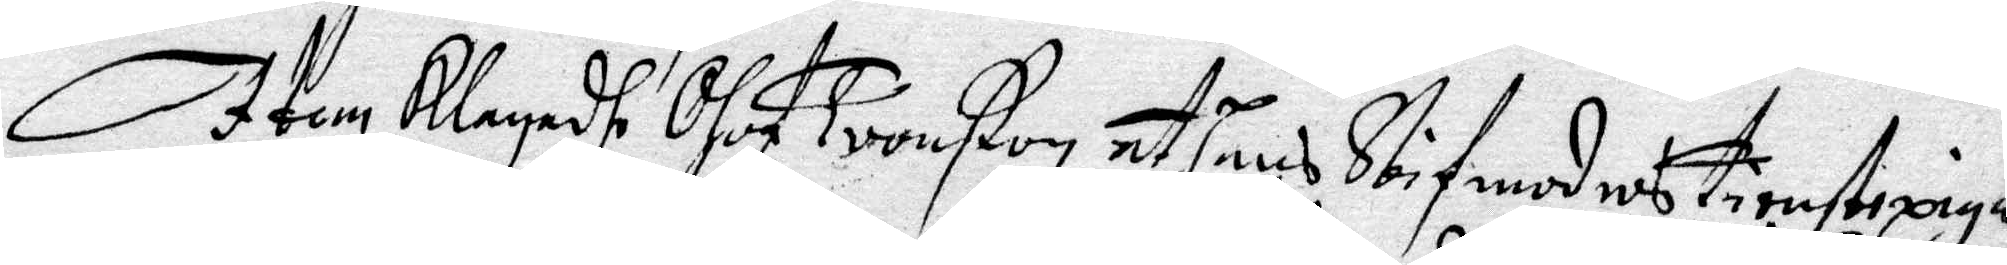Item Klagadhe Olof Tronßon at hans Stifmoders tienstepiga
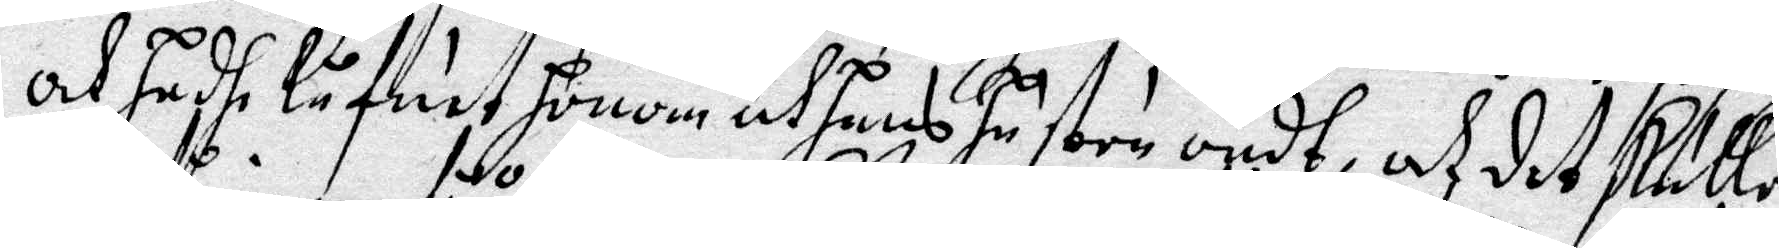och hadh låfuat Honom och Hans Hustru ondt af det skulle
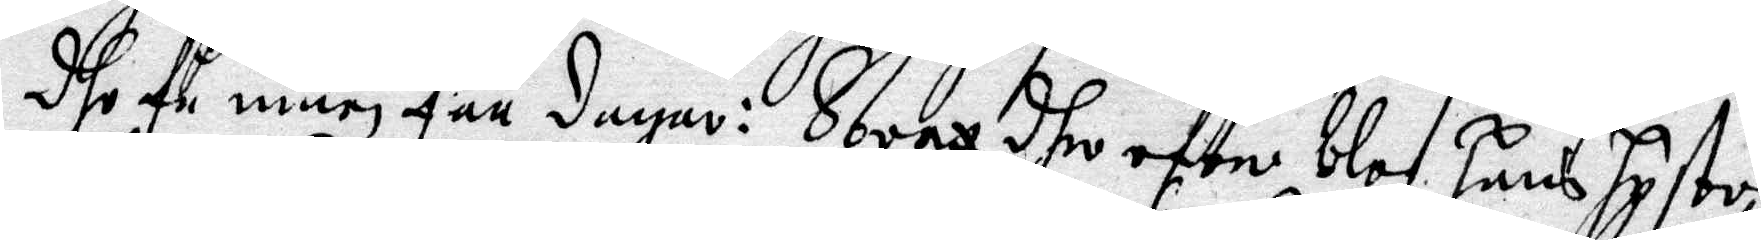dhe få inan fåå dagar: Strax dhe efte blef Hans Hustru
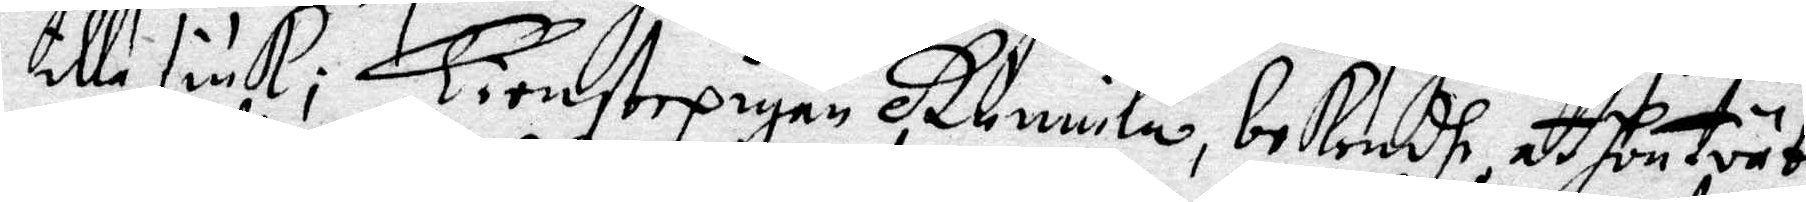illa siuk; Tienstepigan Gunnila, bekendh at Hon träte
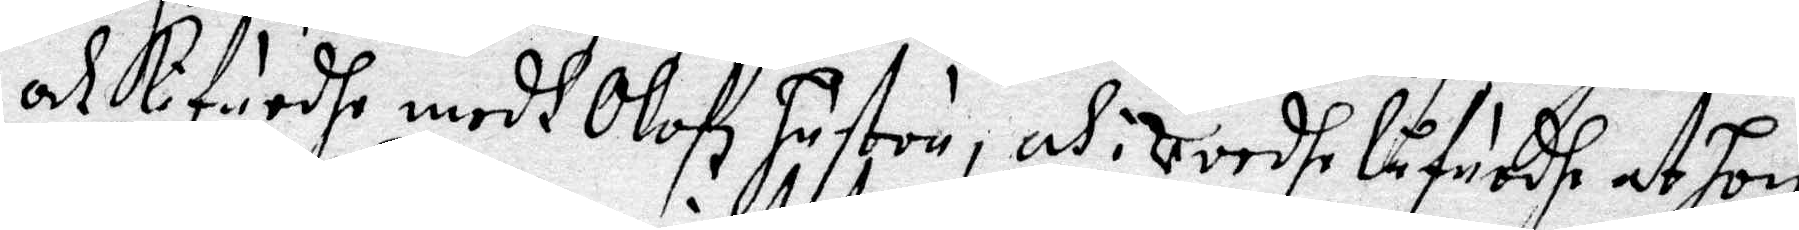och kifuadhe medh Olofz Hustru, och i vredhe låfuadhe at Hon
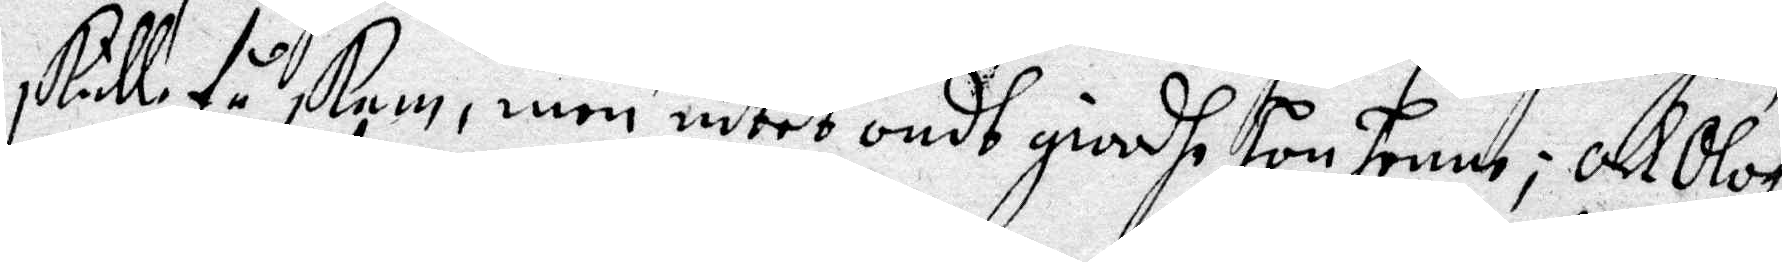skulle få skam, men intet ondt giorhe Hon henne; och Olofz
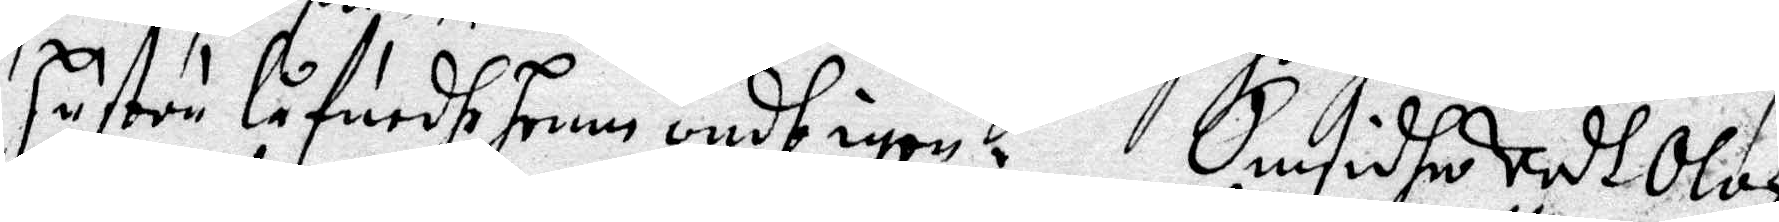Hustru låfuadhe henne ondh igen. Omsidher vadt Olof
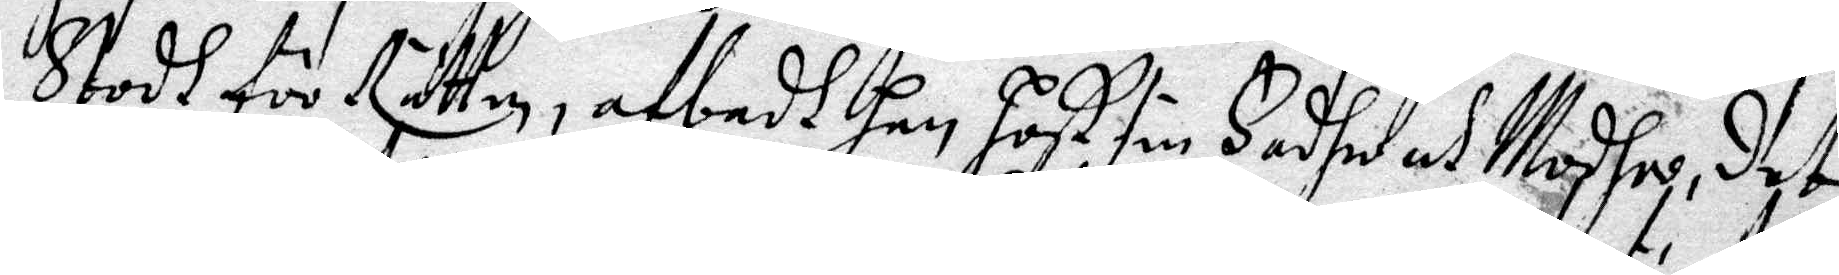stodh för Rätten, afbedh Han Host sin fader och Modher, det
